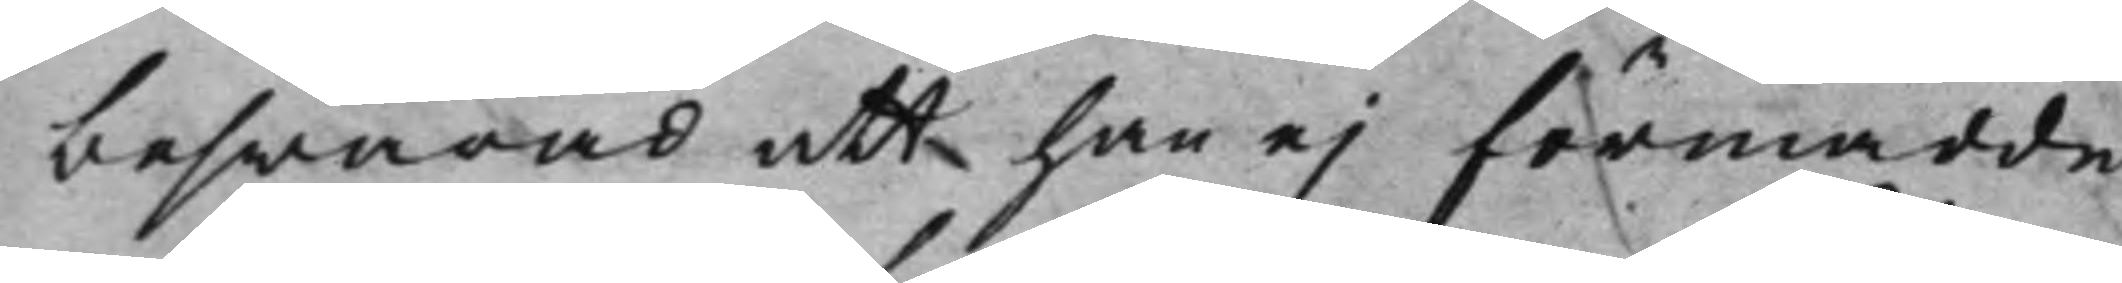beswärad att han ej förmådde
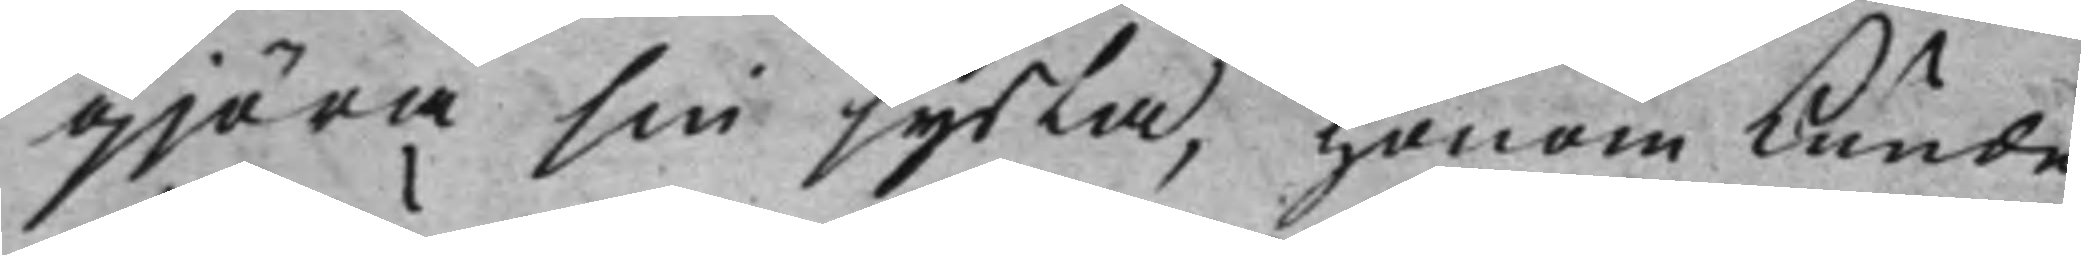gjöra sin sysla, honom kunde
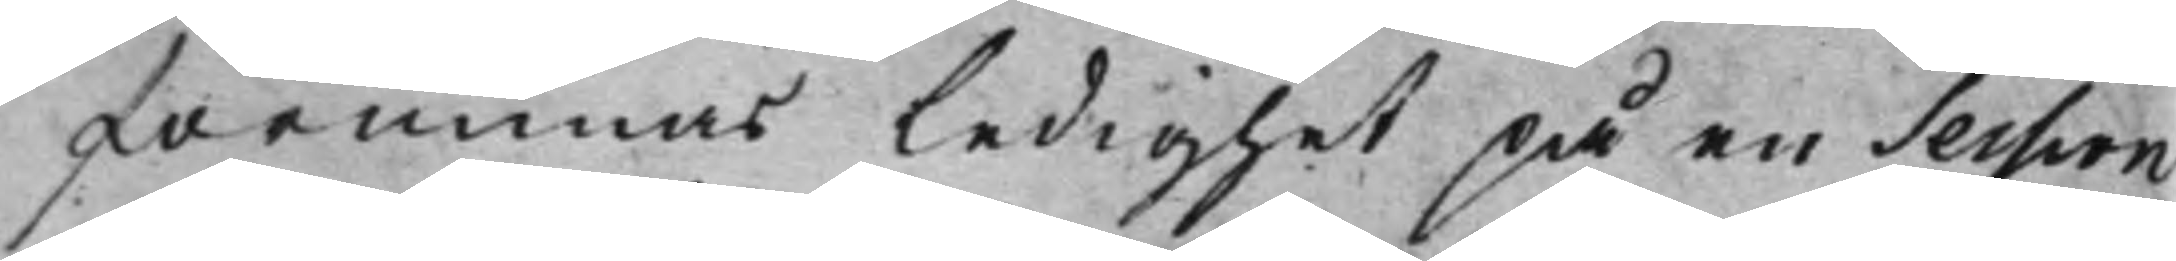förmenas ledighet på en Session
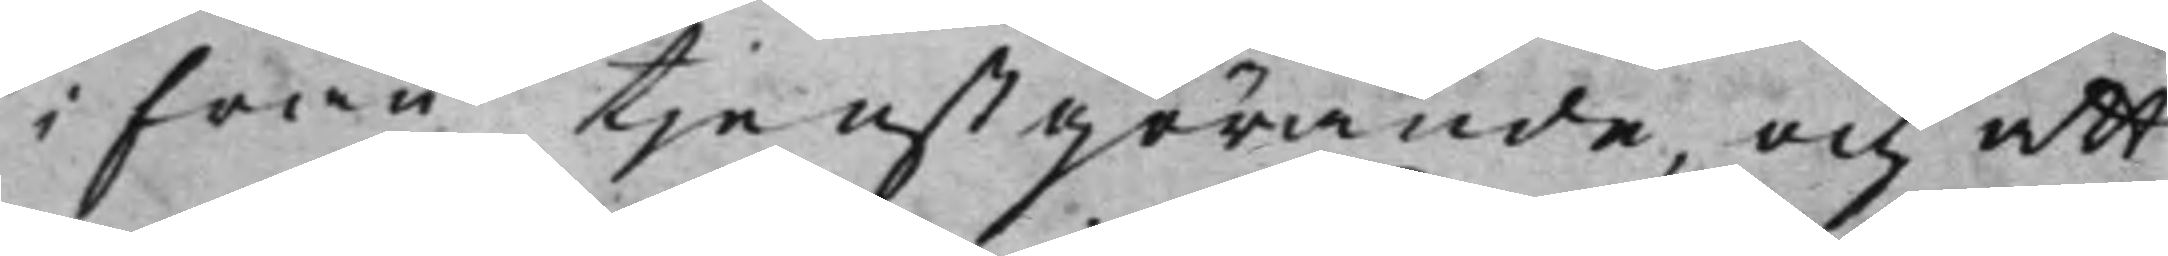ifrån tjenstgörande, och att
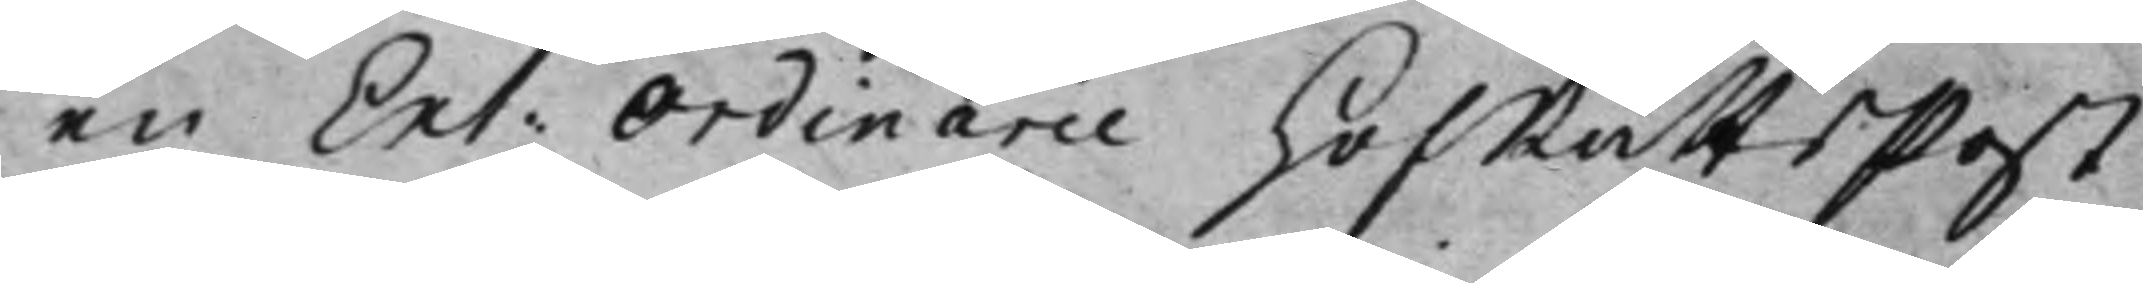en Ext: Ordinarie HofRättsPost 
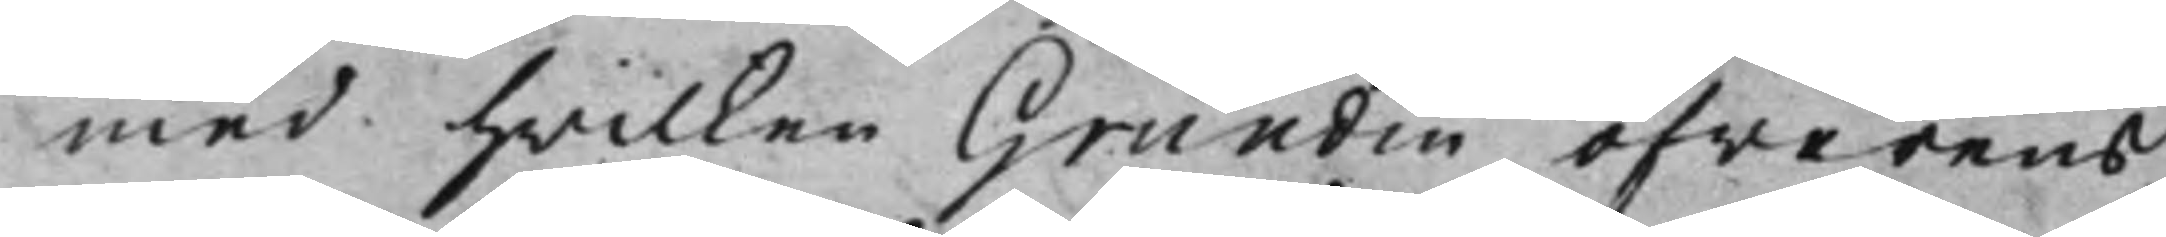med hwilken Grundin öfwerens¬
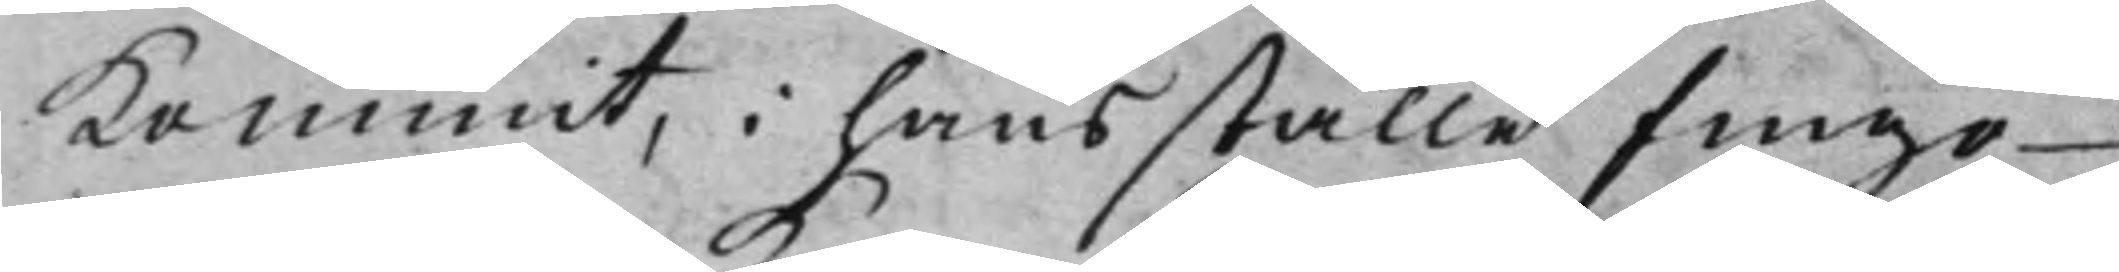kommit, i hans ställe fingo
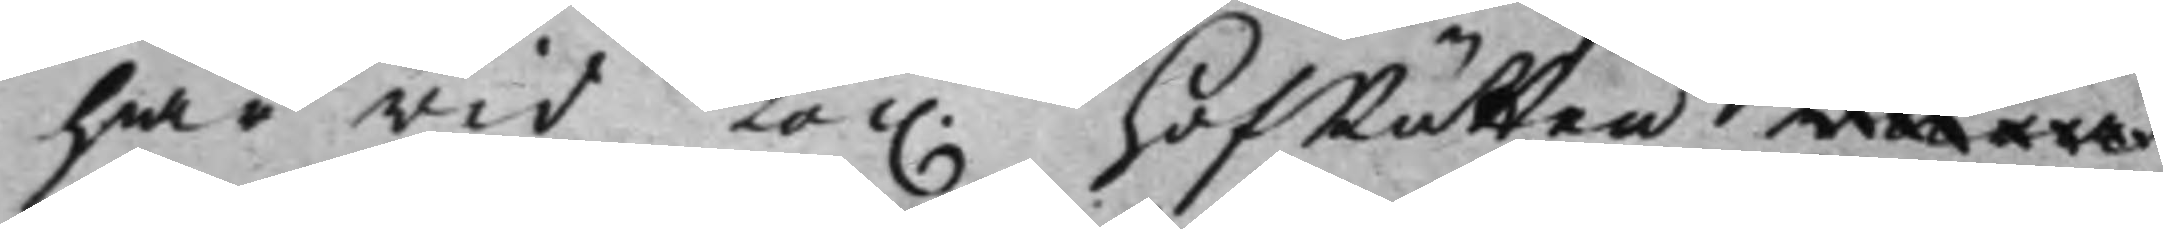här wid Kon. HofRätten wara 
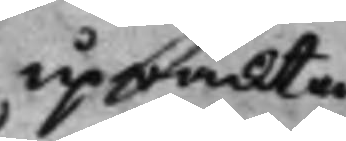upwackta
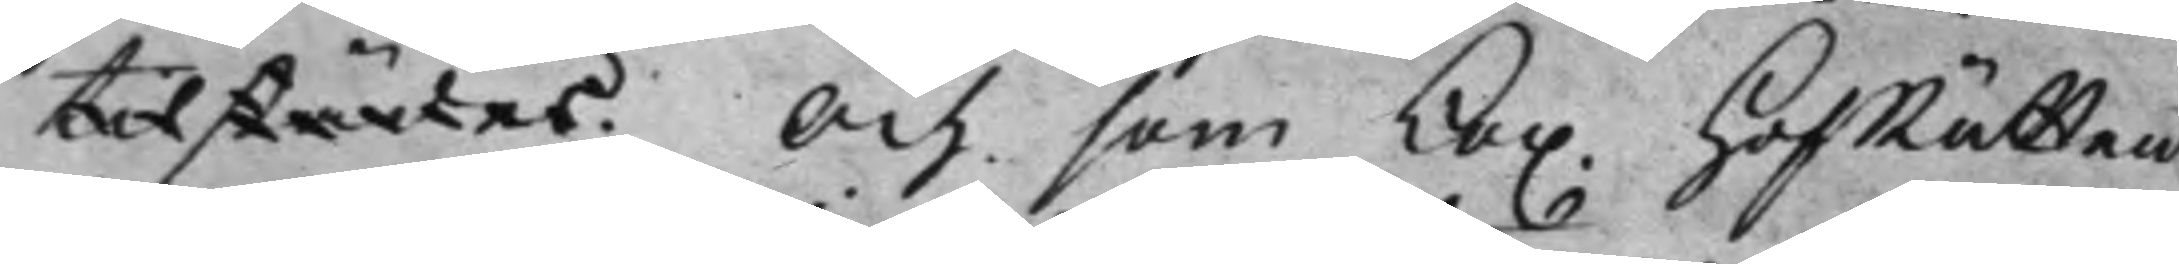tilstädes. Och som Kon. HofRätten 
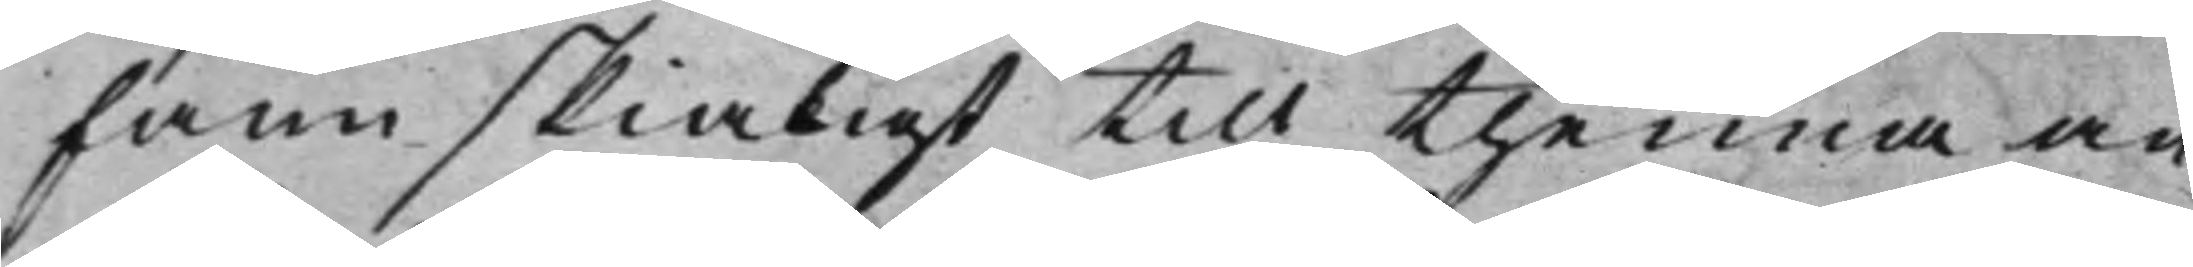fann skialigt till thenna an¬
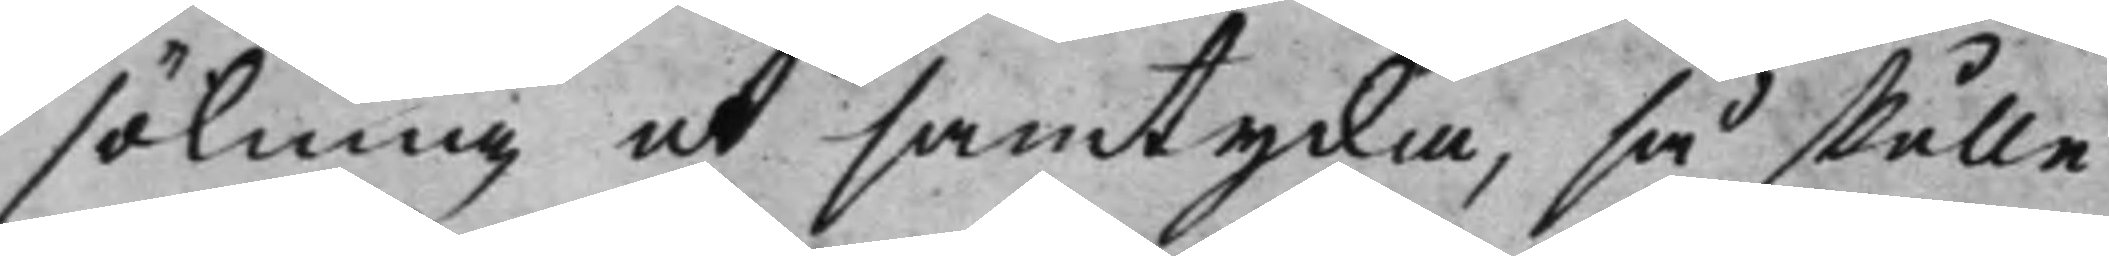sökning at samtycka, så skulle
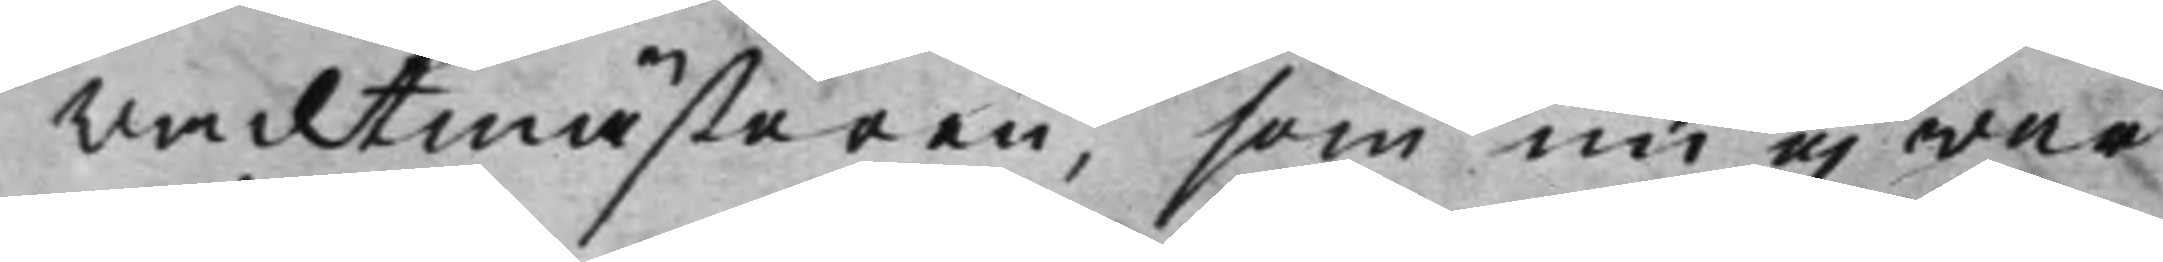Vacktmästaren, som nu ej war
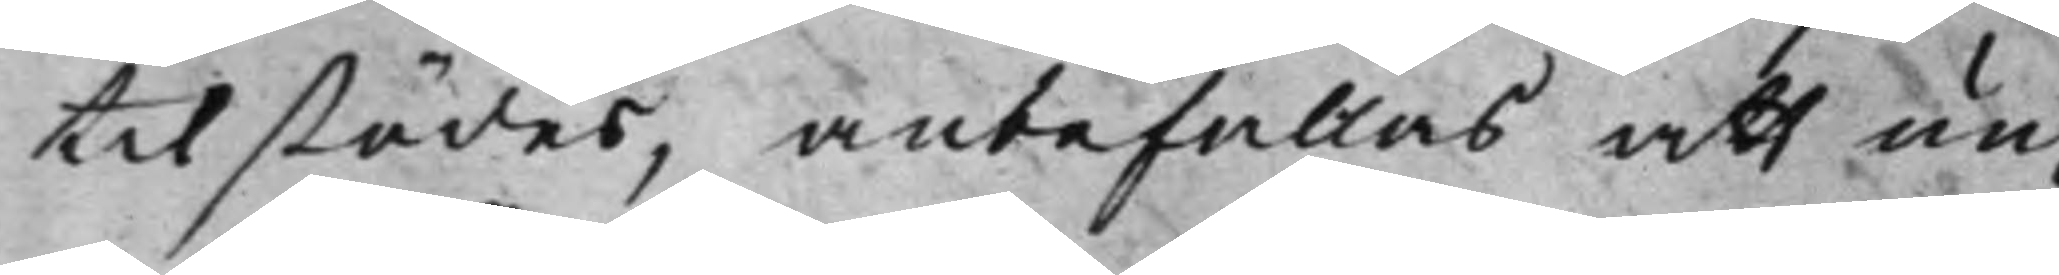tilstädes, anbefallas att un¬
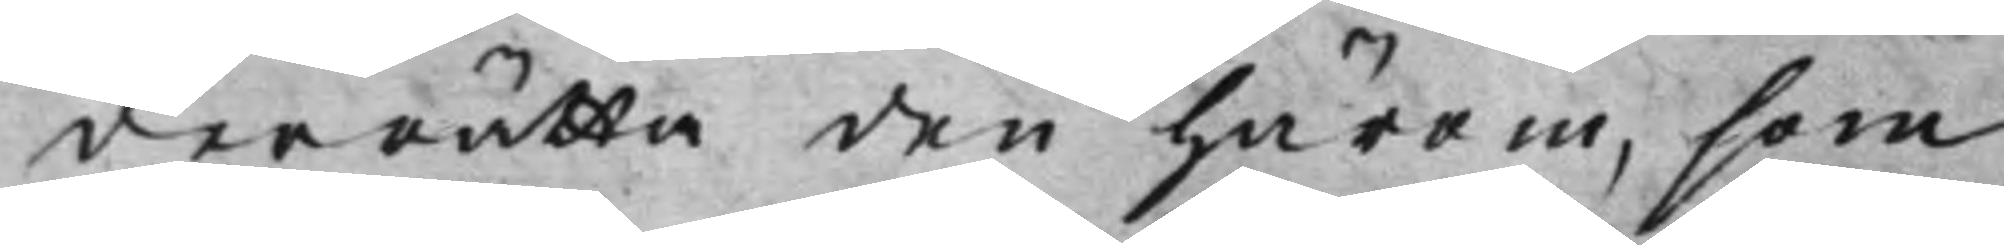derrätta den härom, som
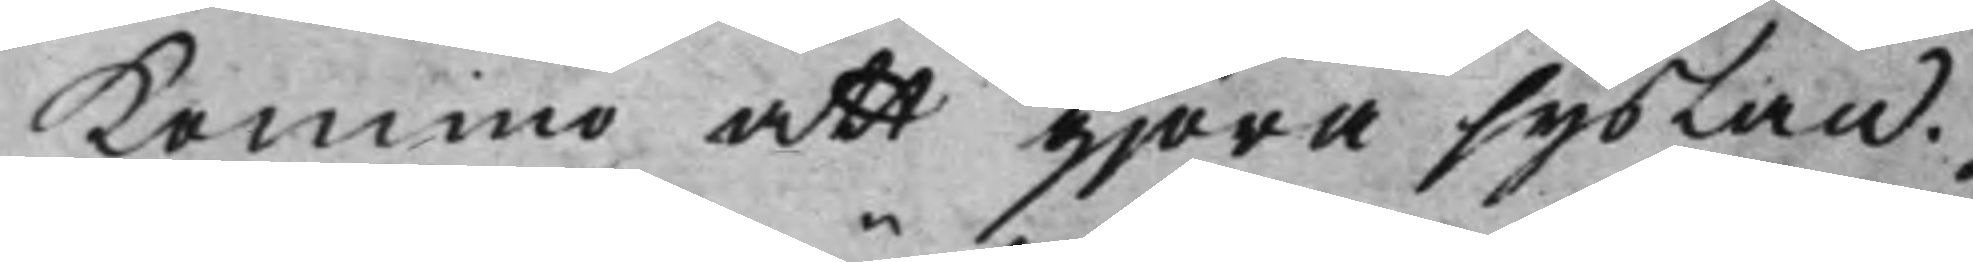Kommo att gjöra syslan.
